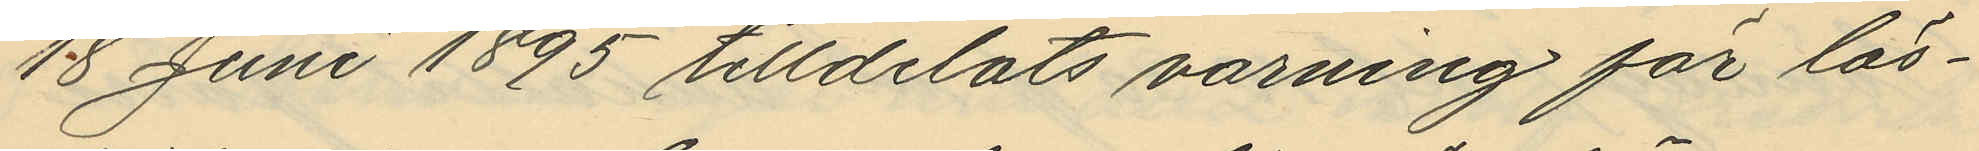18 Juni 1895 tilldelats varning för lös¬
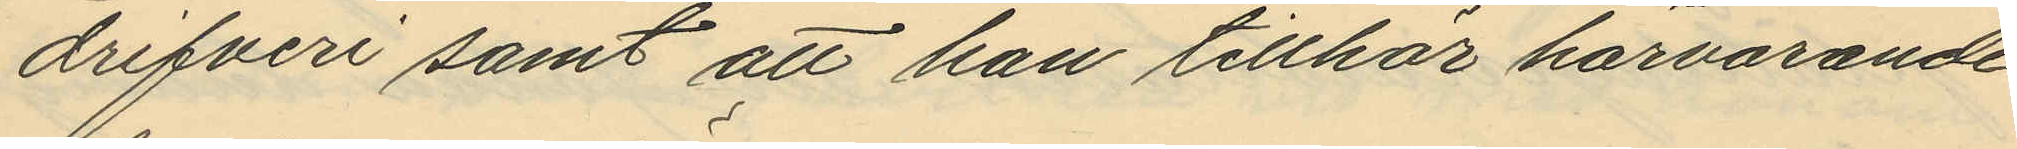drifveri samt att han tillhör härvarande
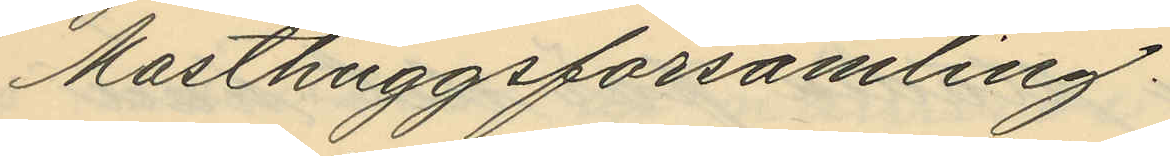Masthuggsförsamling.
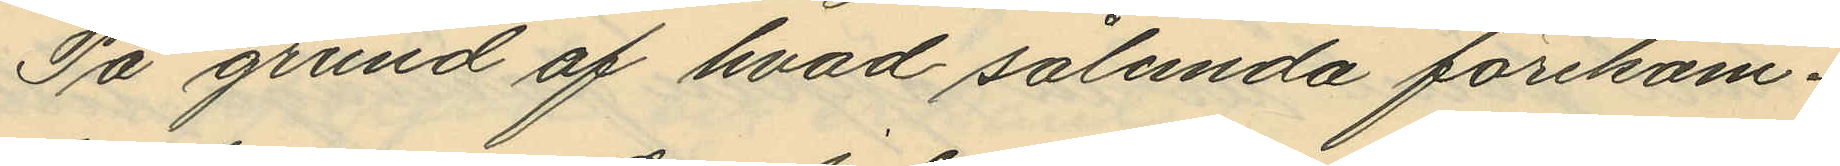På grund af hvad sålunda förekom¬
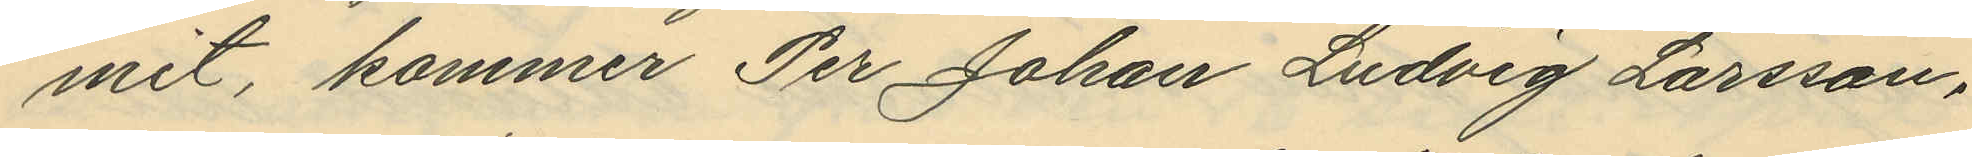mit, kommer Per Johan Ludvig Larsson,
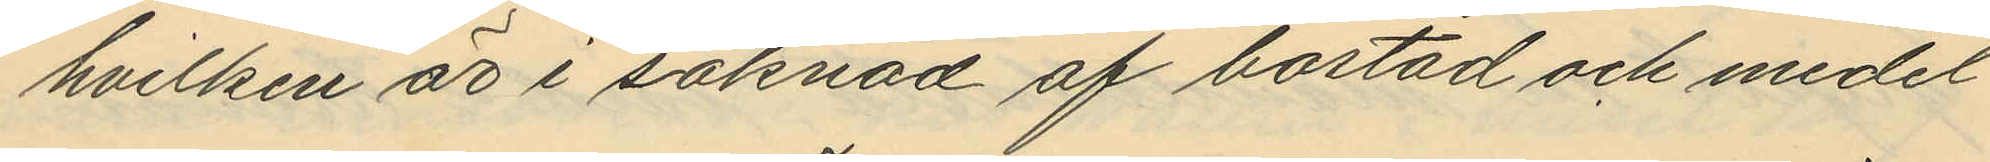hvilken är i saknad af bostad och medel
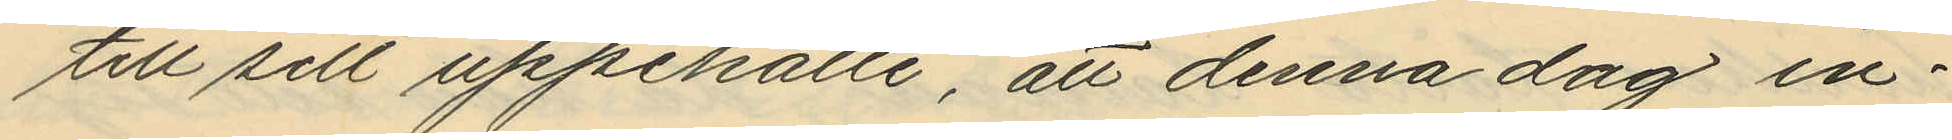till sitt uppehälle, att denna dag in¬
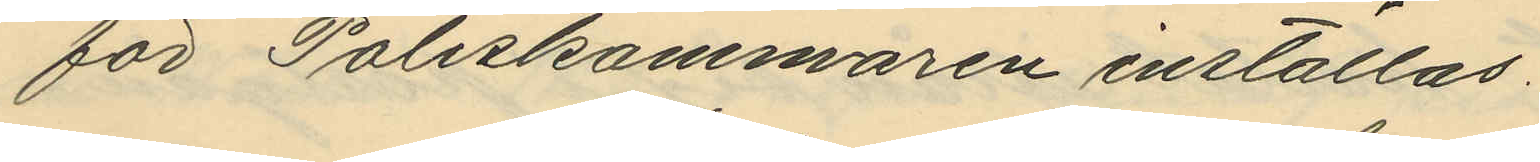för Poliskammaren inställas.
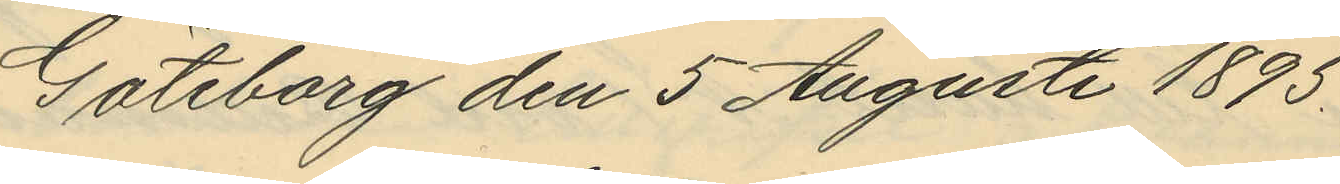Göteborg den 5 Augusti 1895.
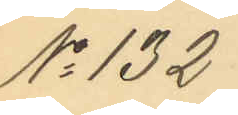No 132
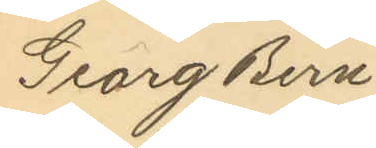Georg Bern¬
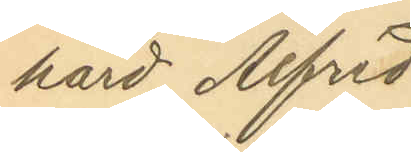hard Alfred
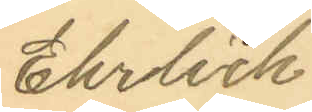Erhlich.
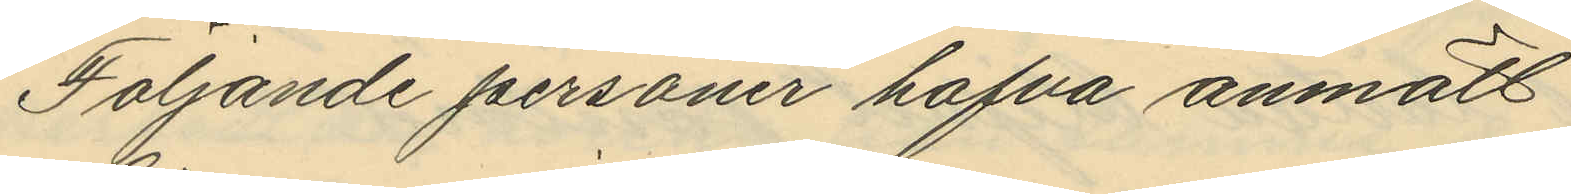Följande personer hafva anmält
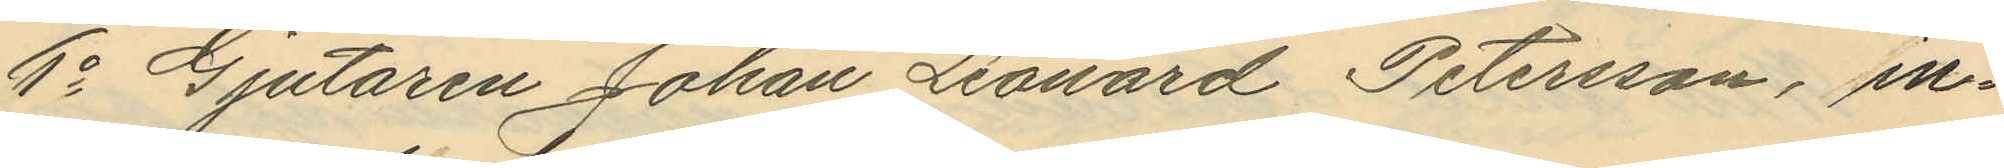1o Gjutaren Johan Leonard Petersson, in¬
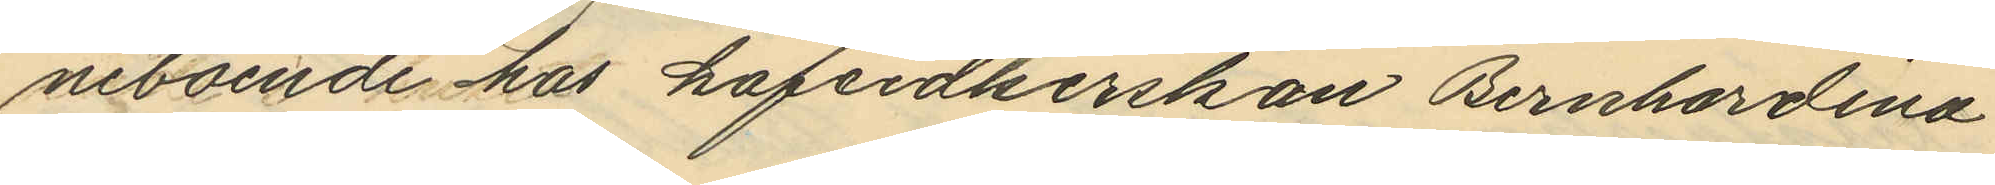neboende hos kaféidkerskan Bernhardina
